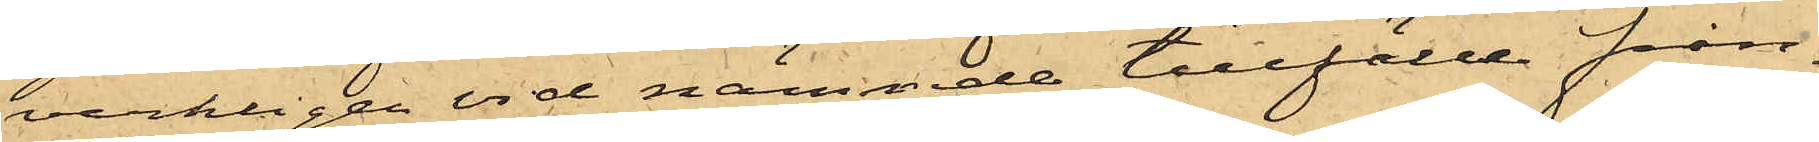verkligen vid nämnde tillfälle från¬
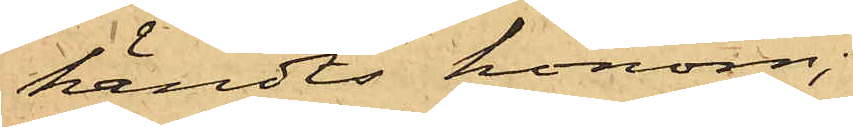händts honom;
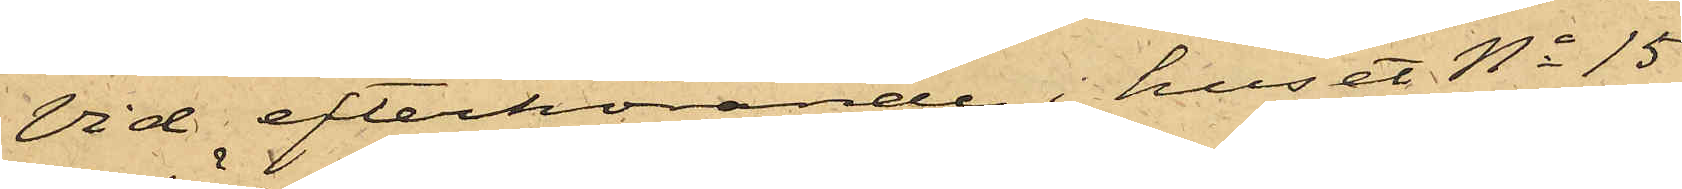Vid efterhörande i huset No 15
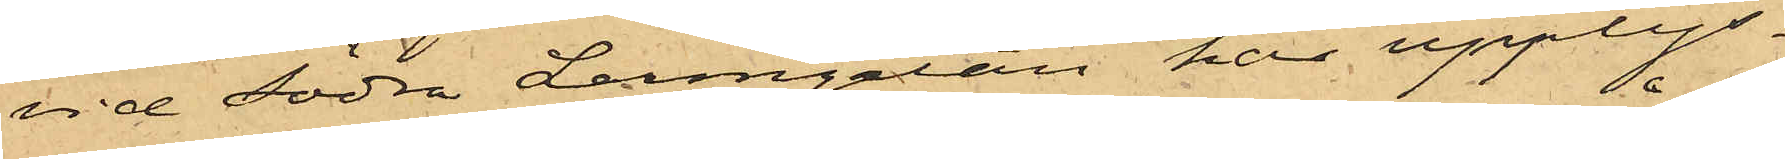vid Södra Larmgatan har upplys¬
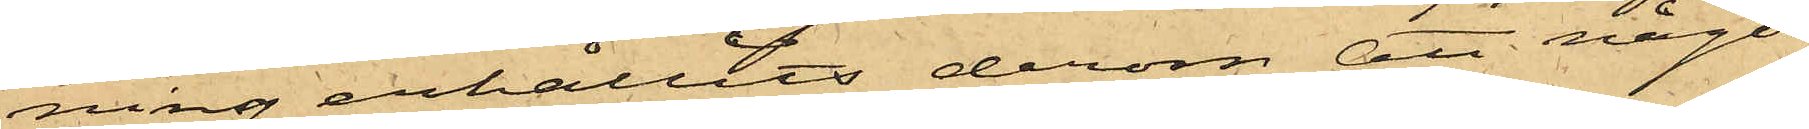ning erhållits derom att någon
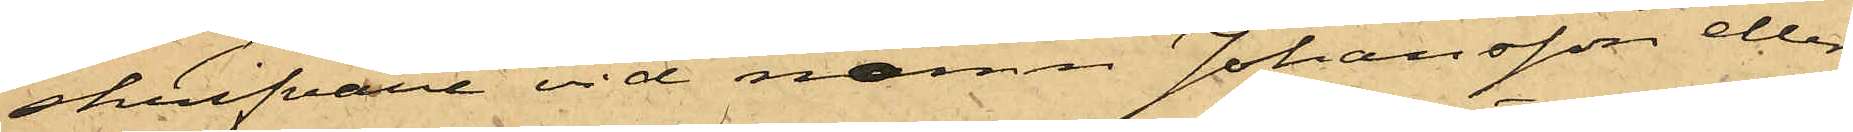skrifvare vid namn Johansson eller
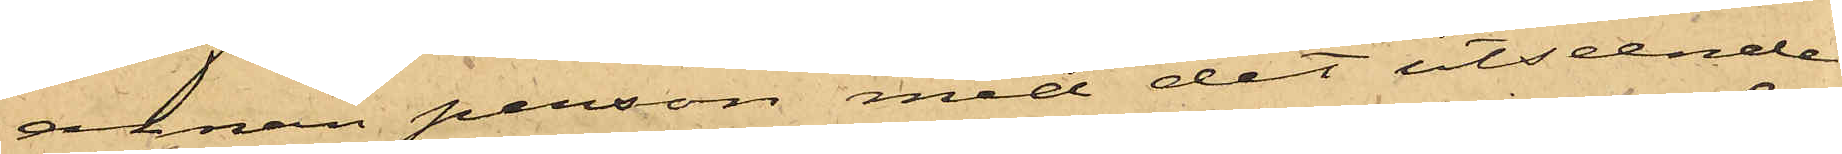annan person med det utseende
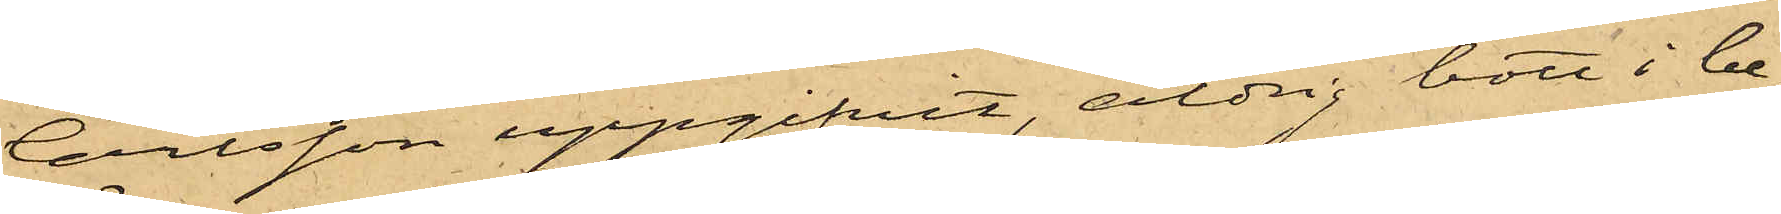Carlsson uppgifvit, aldrig bott i be¬
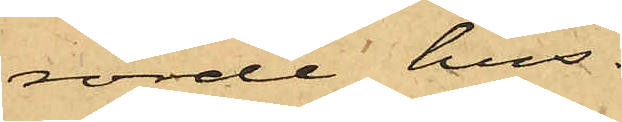rörde hus.
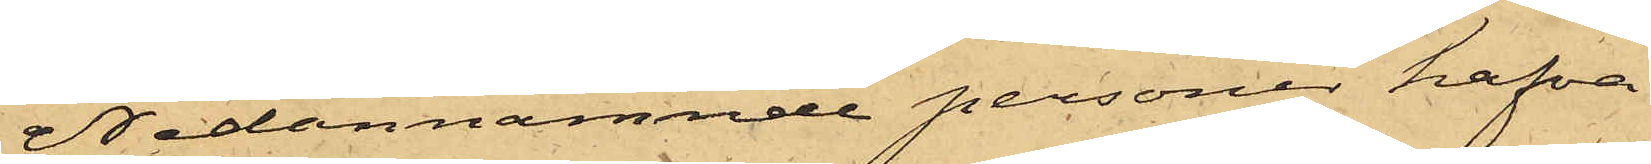Nedannämnde personer hafva
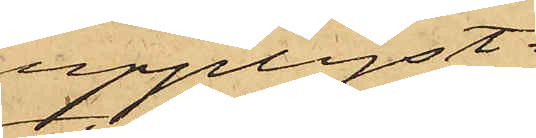upplyst:
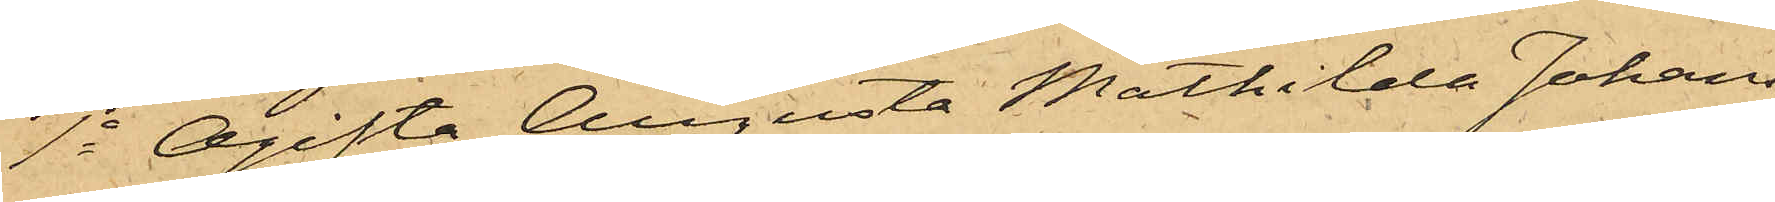1o Ogifta Augusta Mathilda Johans¬
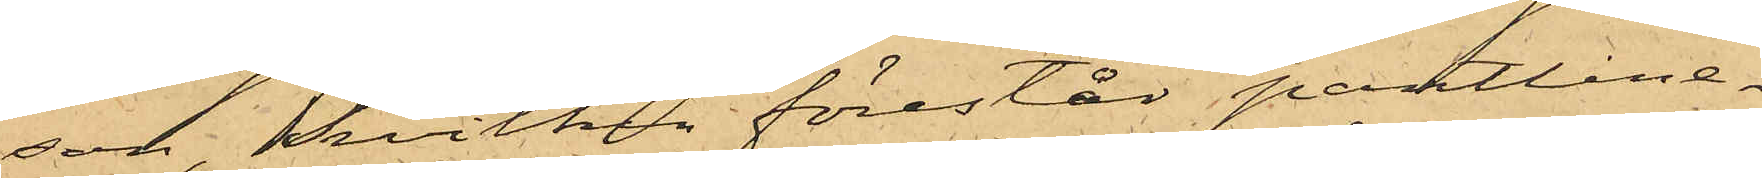son, hvilken förestår pantlåne¬
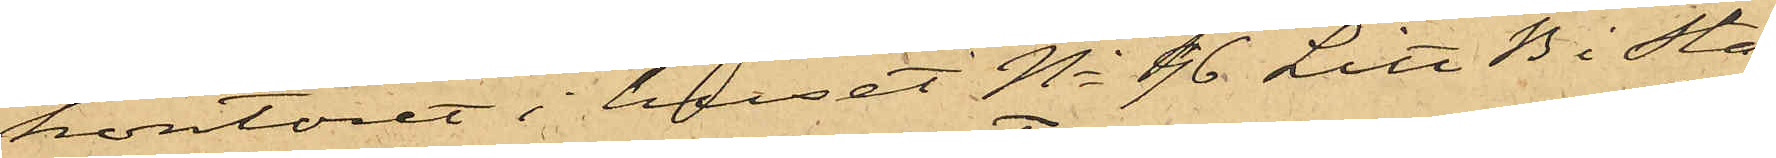kontoret i huset No 46 Litt B i sta¬
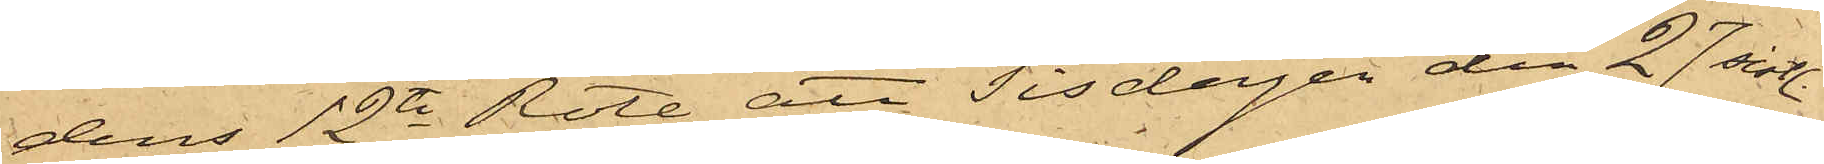dens 12te Rote, att Tisdagen den 27 sist.
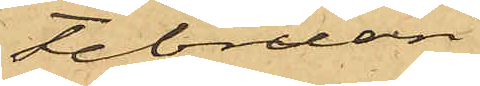Februari
